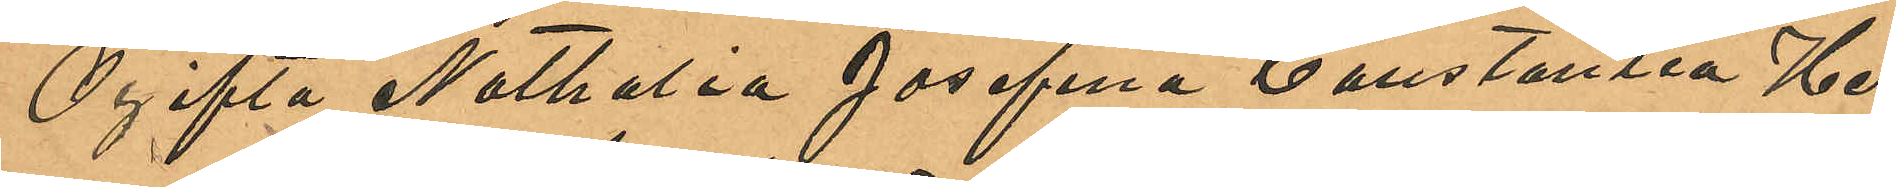Ogifta Nathalia Josefina Constantia Her¬
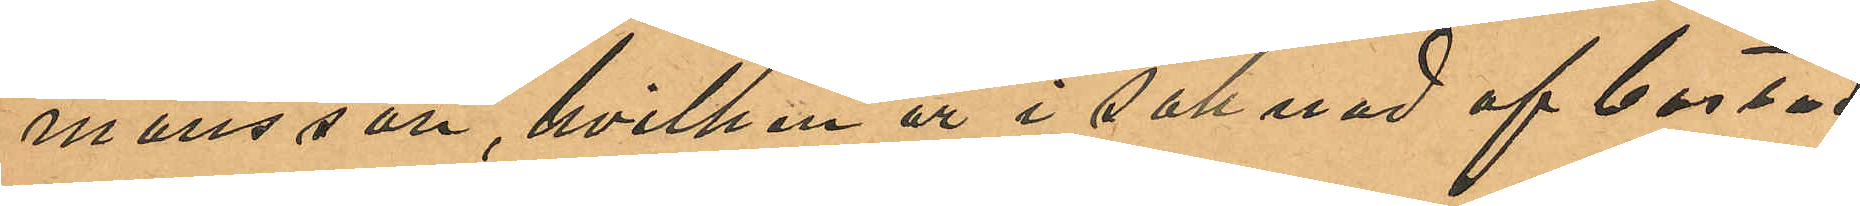mansson, hvilken är i saknad af bostad
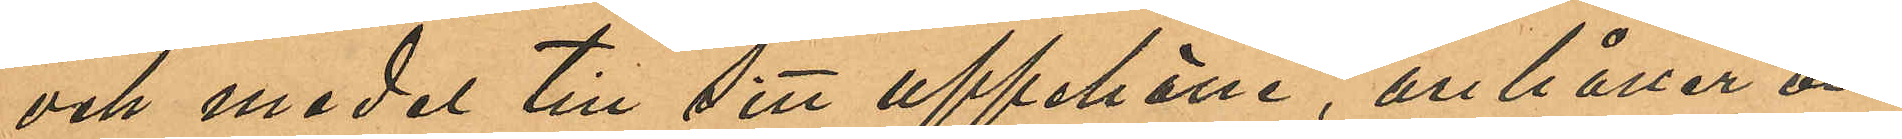och medel till sitt uppehälle, anhåller om
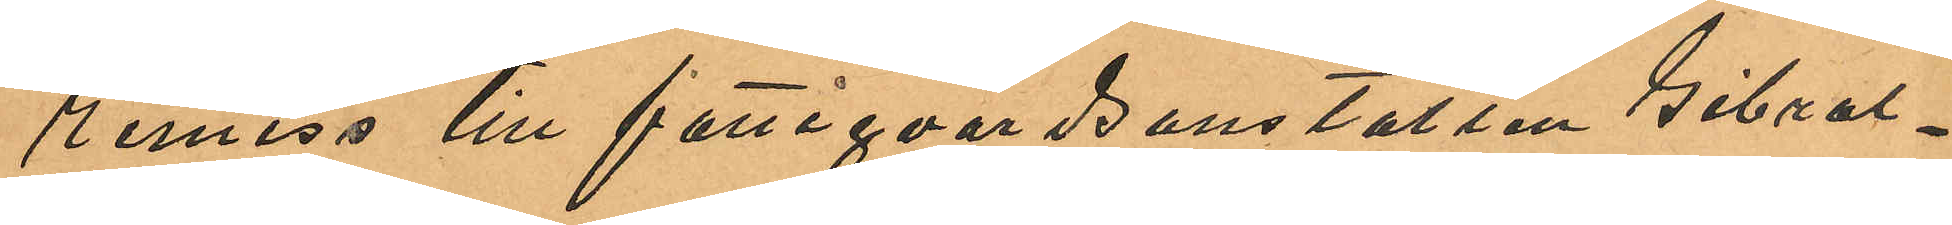remiss till fattigvårdsanstalten Gibral¬
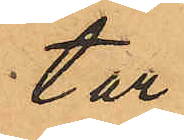tar.
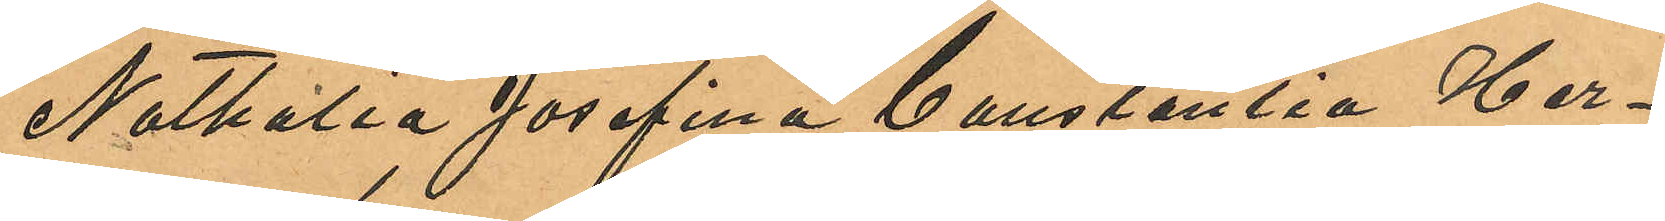Nathalia Josefina Constantia Her¬
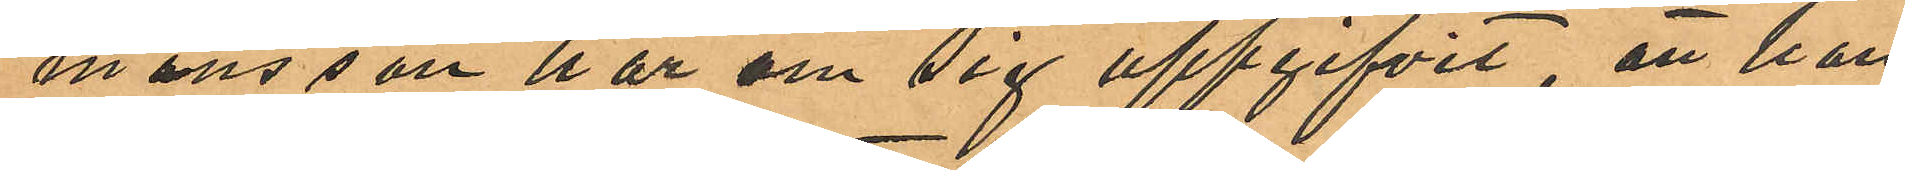mansson har om sig uppgifvit, att hon
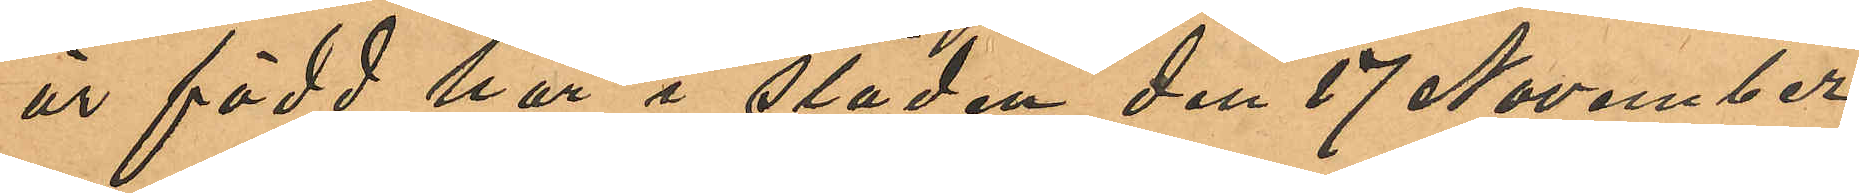är född här i staden den 17 November
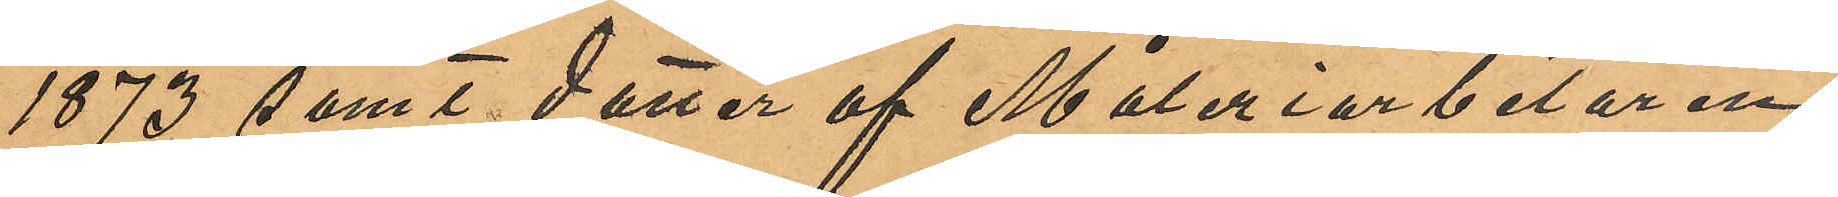1873 samt dotter af Måleriarbetaren
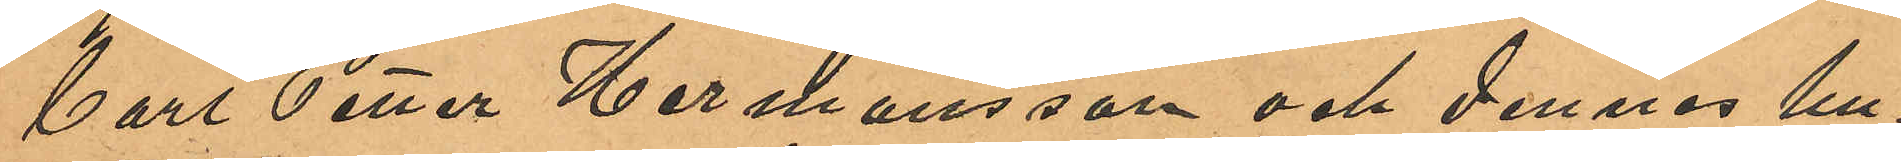Carl Petter Hermansson och dennes hu¬
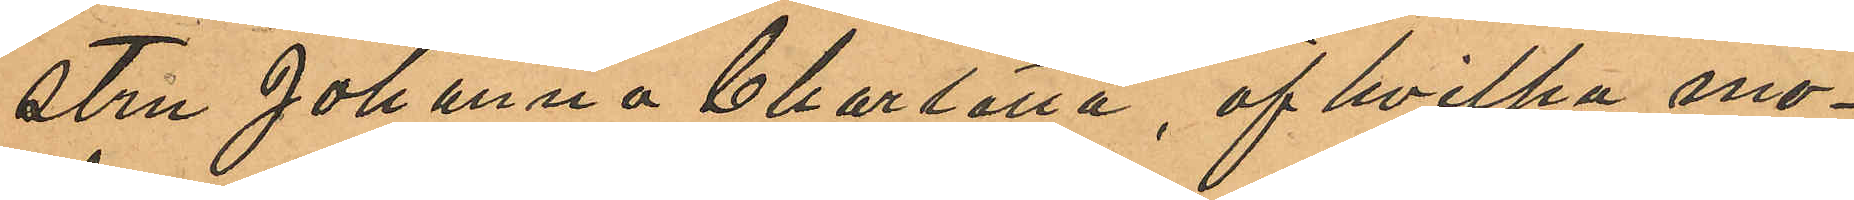stru Johanna Charlotta, af hvilka mo¬
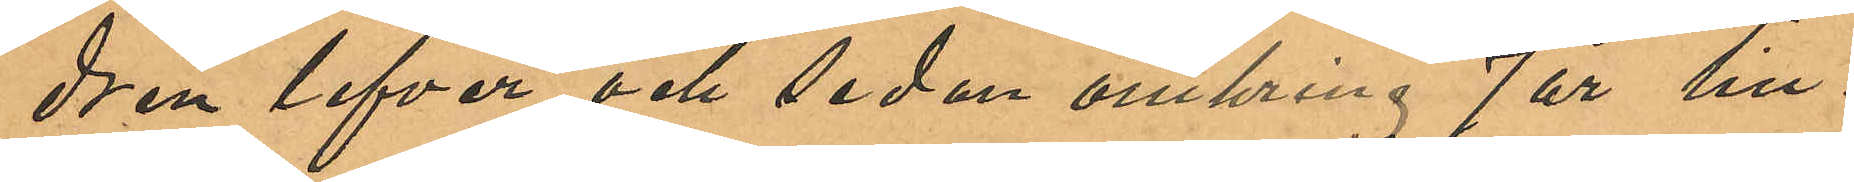dren lefver och sedan omkring 7 år till¬
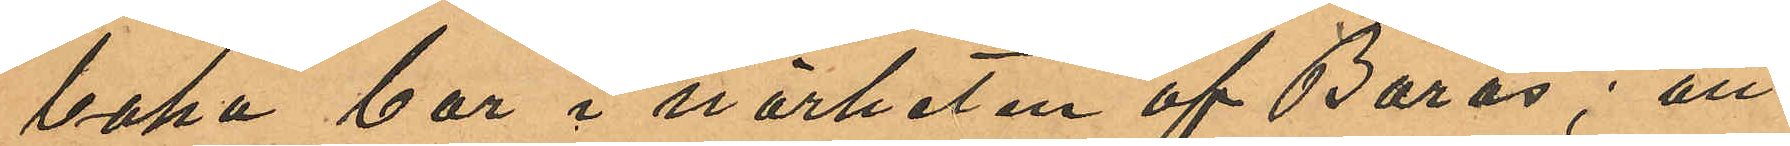baka bor i närheten af Borås; att
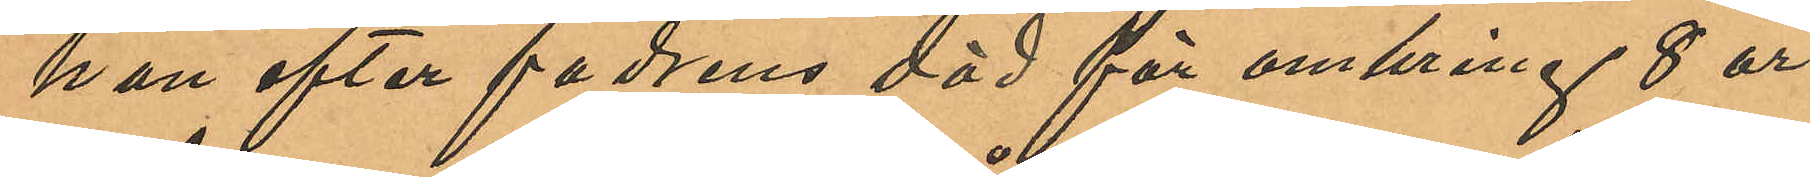hon efter fadrens död för omkring 8 år
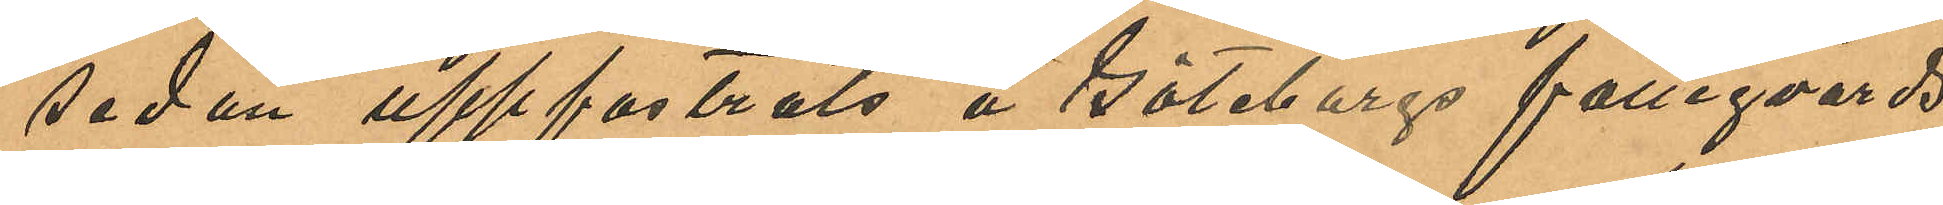sedan uppfostrats å Göteborgs fattigvårds
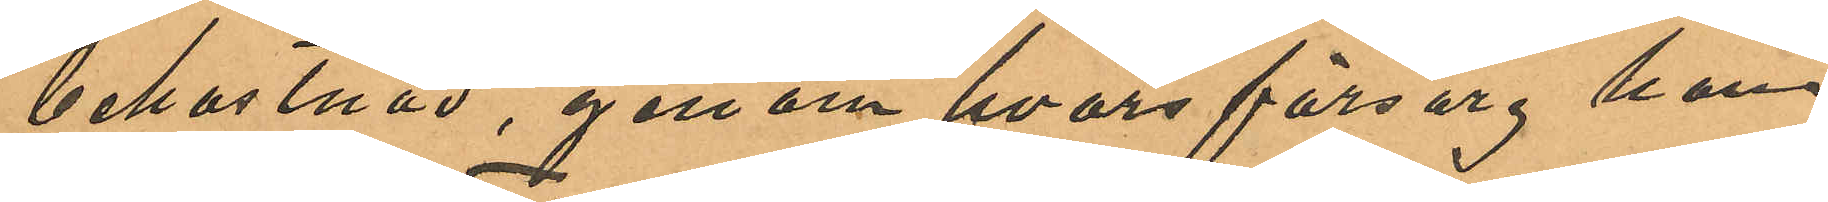bekostnad, genom hvars försorg hon
